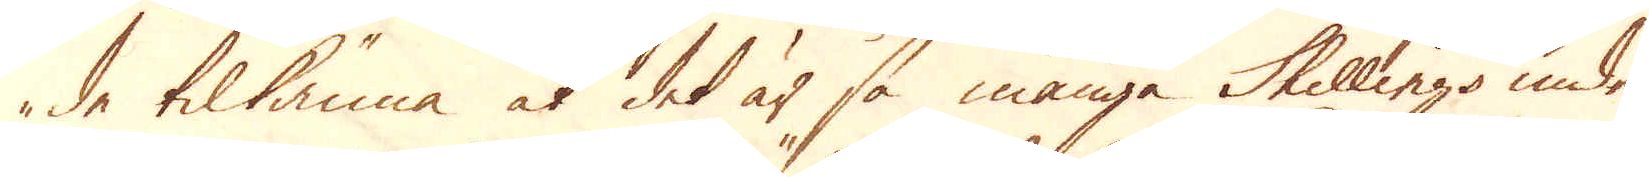de tilkänna at det är så många Skillings under
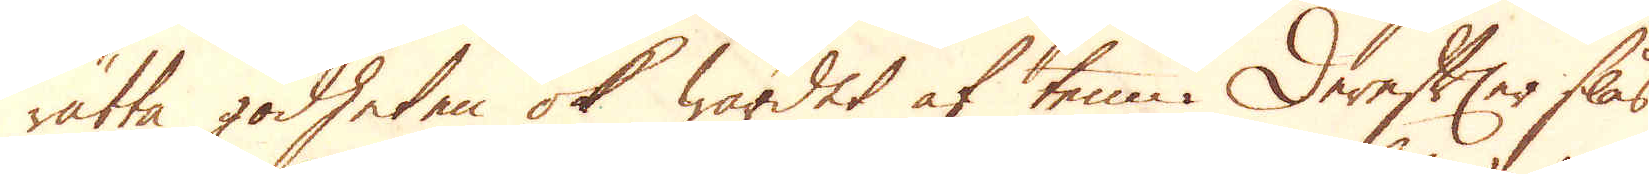rätta godheten ok wärdet af tenn. Derefter slås
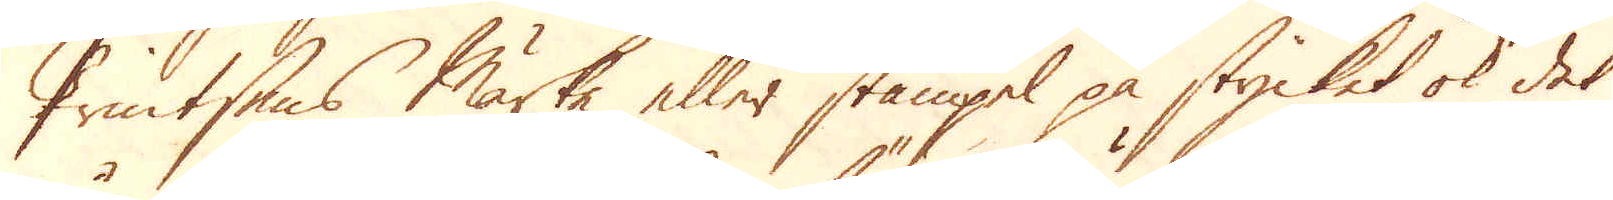Printsens Märke eller stämpel på stycket ok det
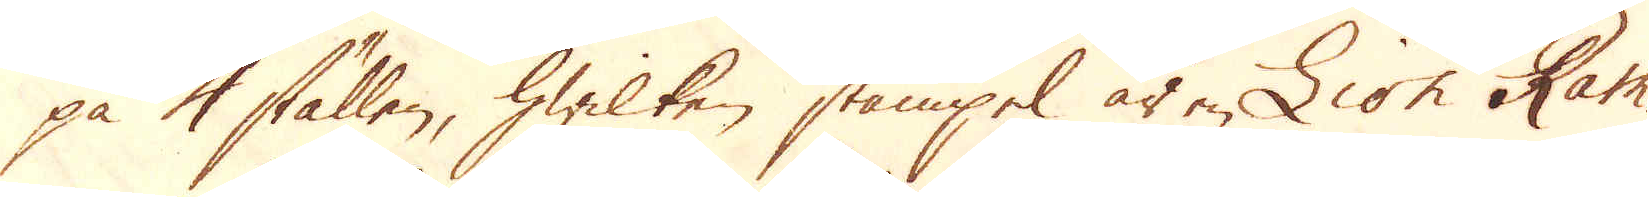på 4 ställen, hwilken stämpel är en Lion Ram-
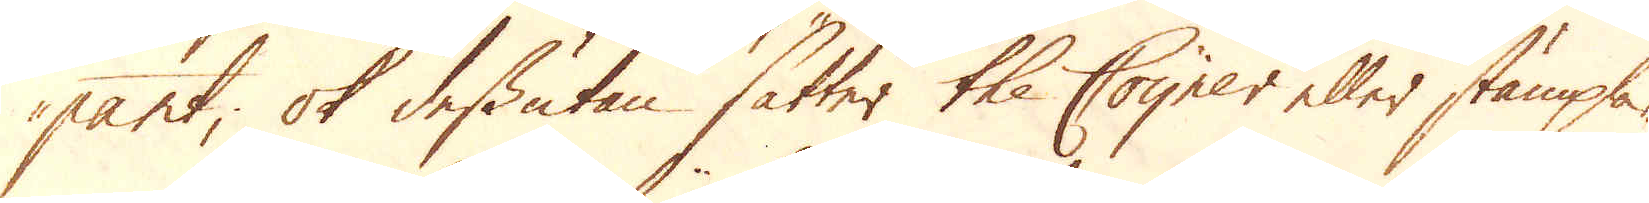pant; ok dessutan sätter the Coyner eller stämpla-
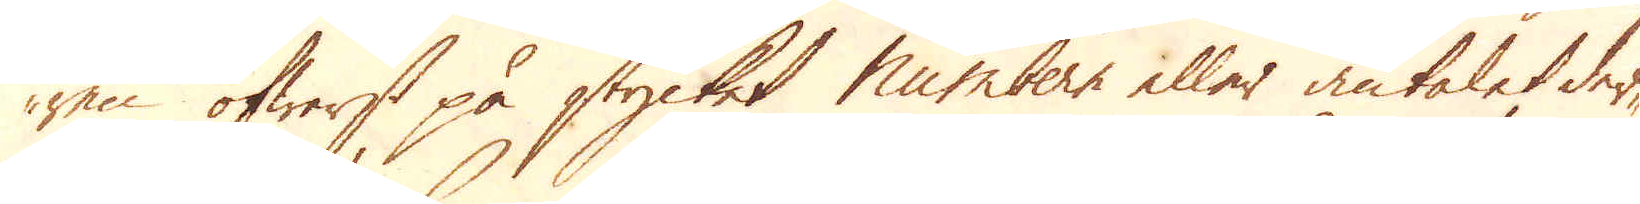ren öfwerst på stycket Numbern eller antalet der-
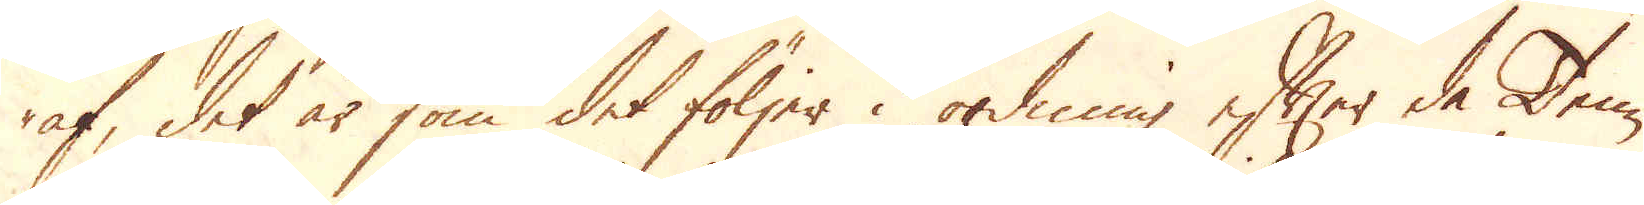af, det är som det följer i ordning efter de Tenn-
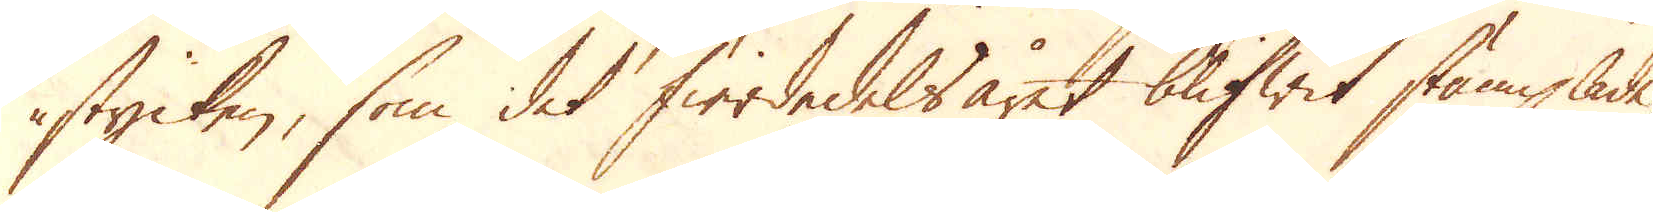stycken, som det fierdedels året blifwit stämplade,
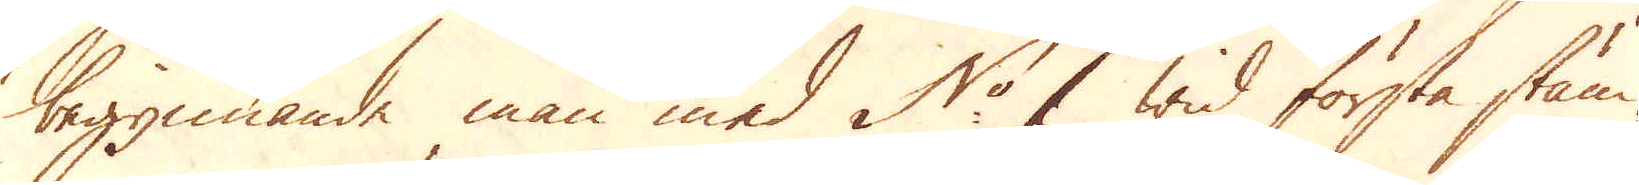begynnande man med N:r 1 wid första stäm-
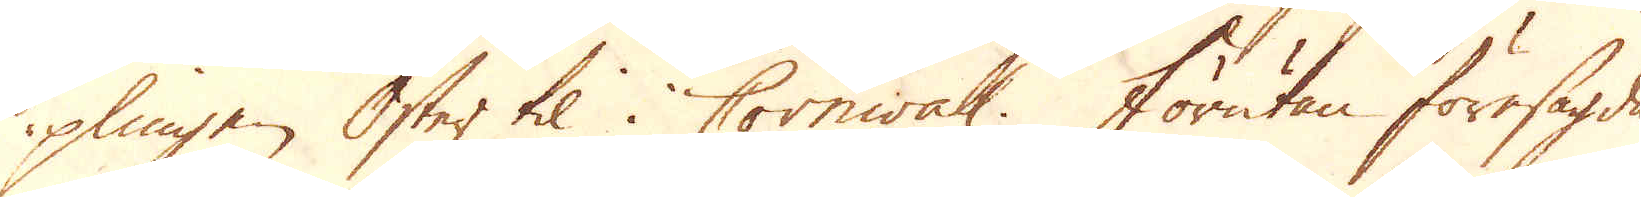plingen Öster til i Cornwall. Förutan föresagde
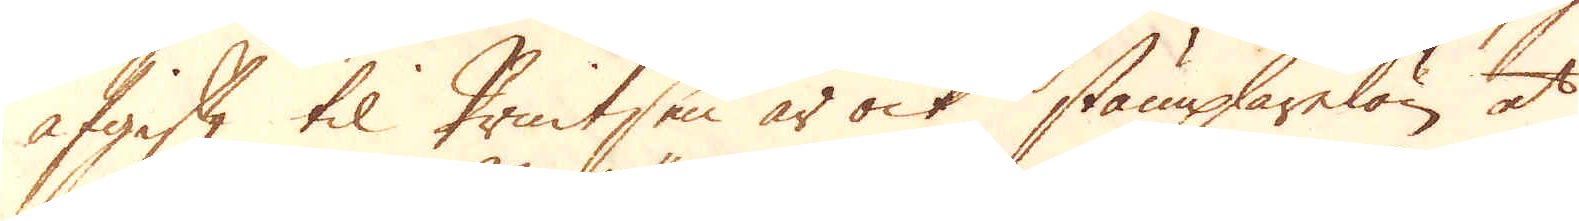afgift til Printsen är ock stämplarelön, at
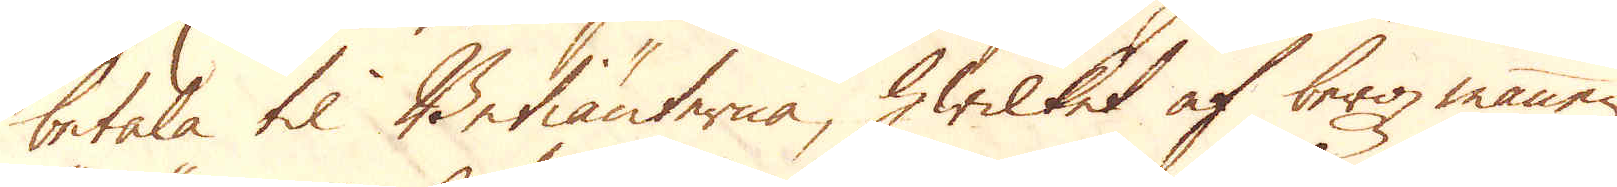betala til Betiänterna, hwilket af berg mannen
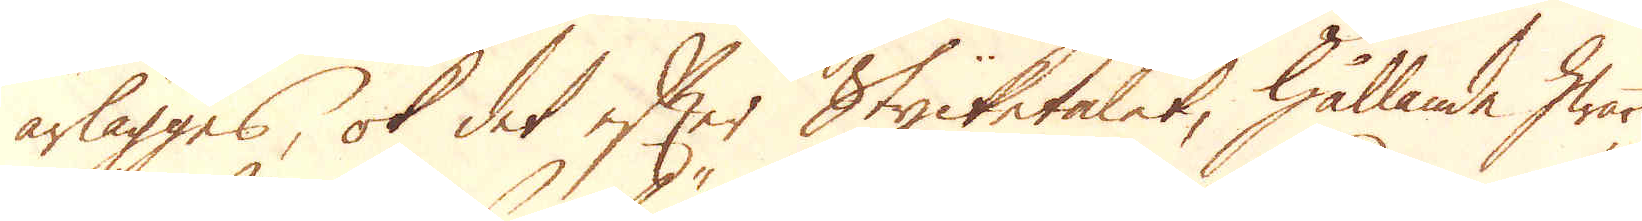ärlägges, ok det efter Stycketalet, hållande hwart
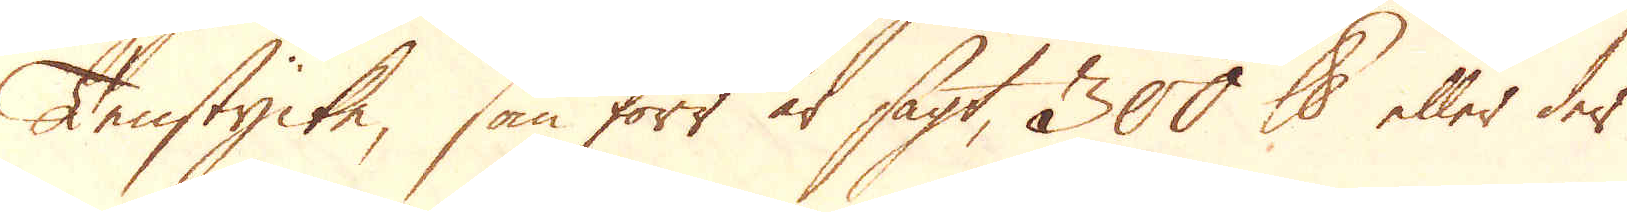Tenstycke, som förr är sagt, 300 skålpund eller der
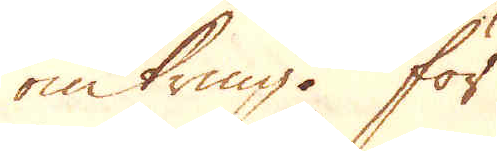omkring. För
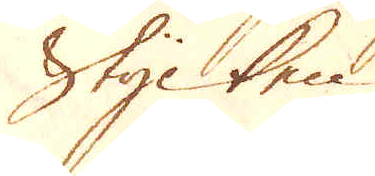Stycken
